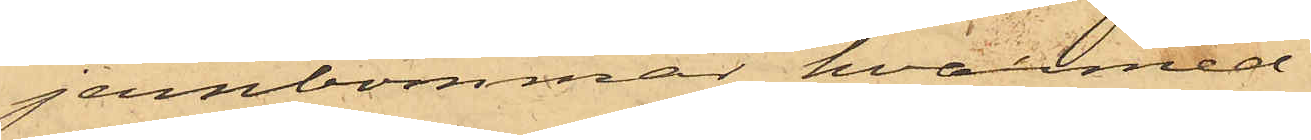jernbommar, hvarmed
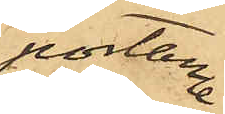portarne
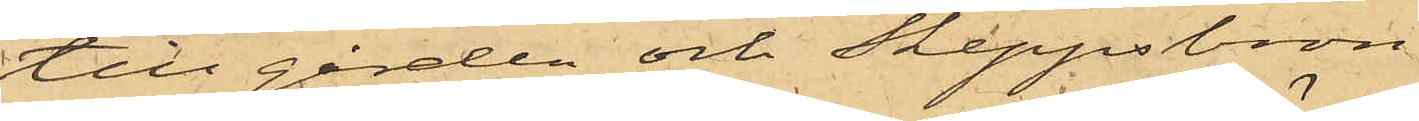till gården och Skeppsbron
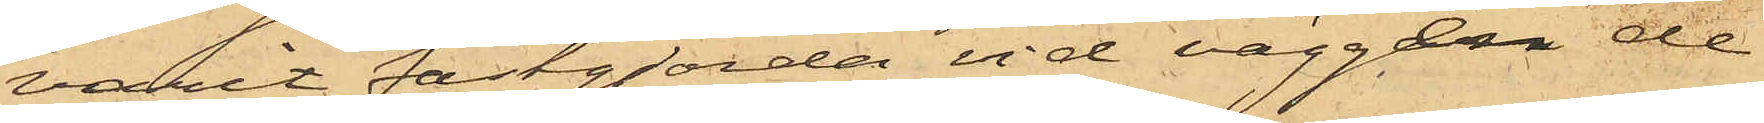varit fastgjorda vid väggen de
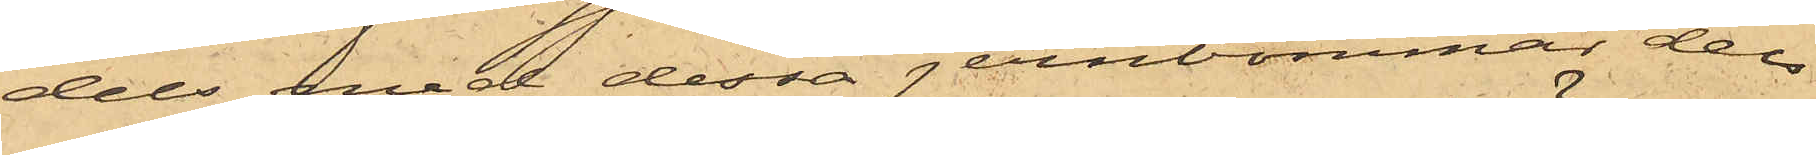dels med dessa jernbommar dels
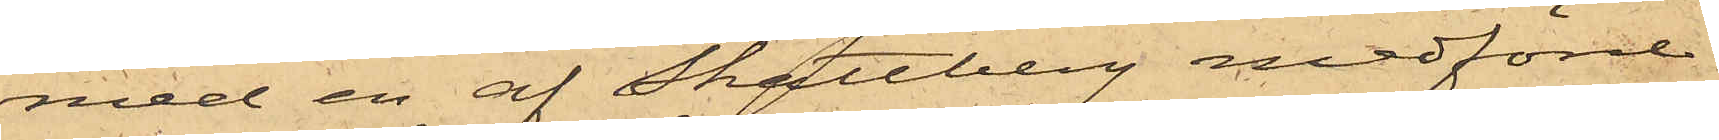med en af Skattberg medförd
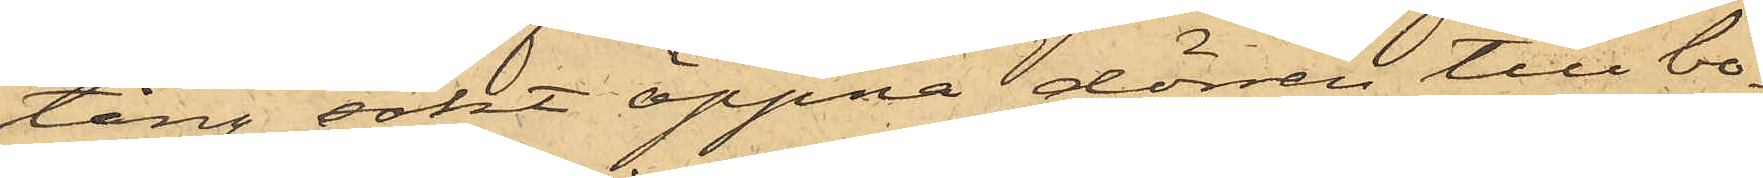tång sökt öppna dörren till bo¬
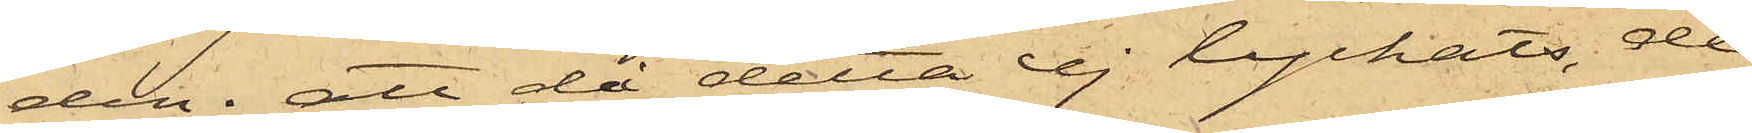den; att då detta ej lyckats, de
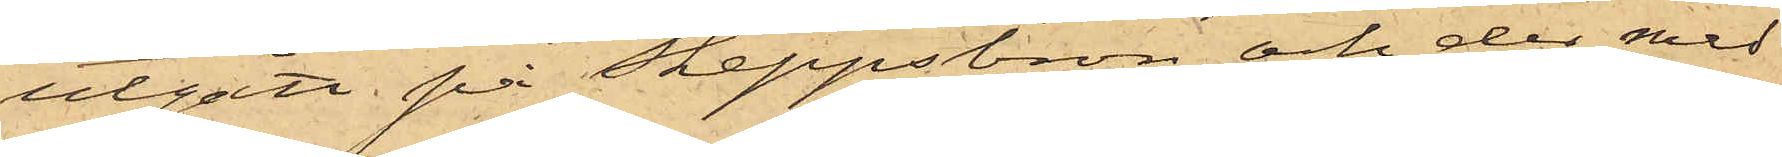utgått på Skeppsbron och der med
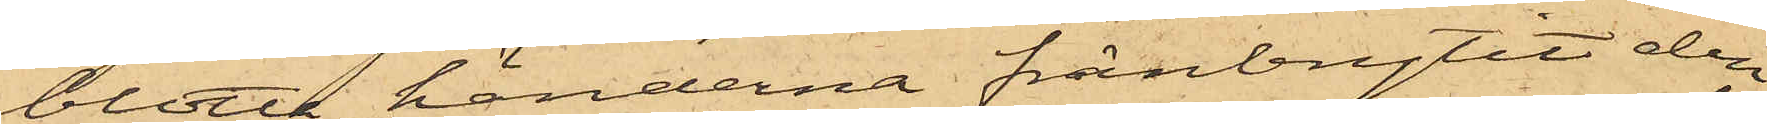blotta händerna frånbrytit den
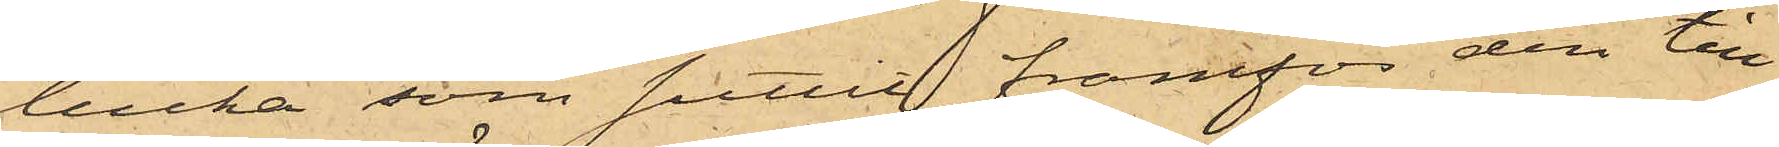lucka som suttit framför den till
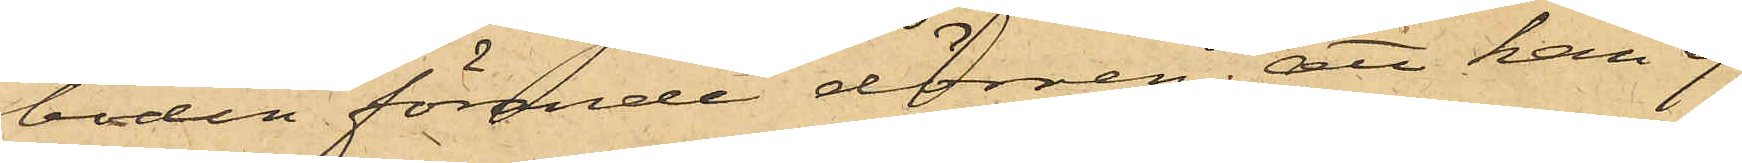boden förande dörren; att han ej
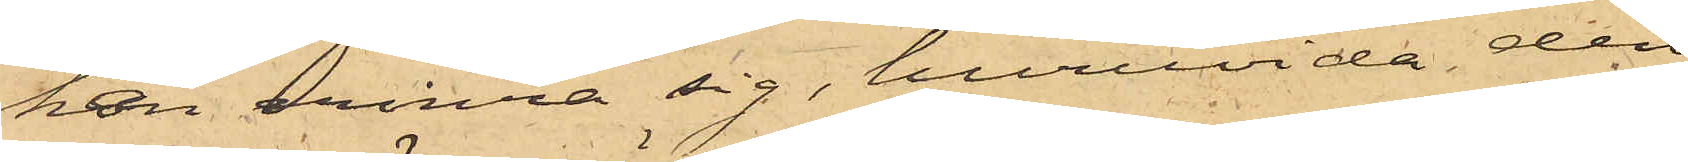kan erinra sig, huruvida den
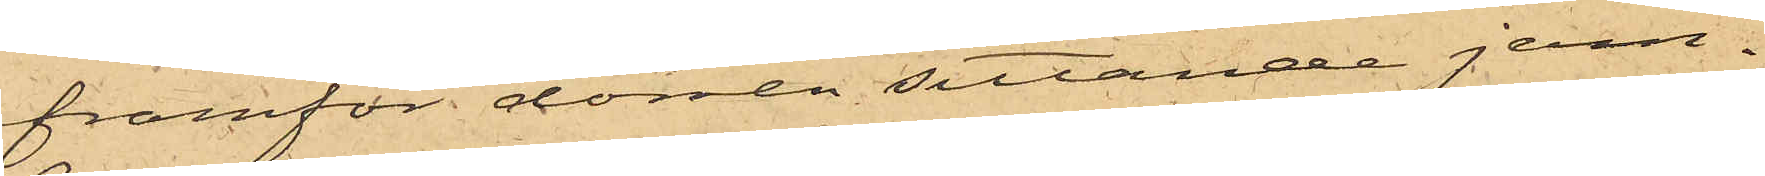framför dörren sittande jern¬
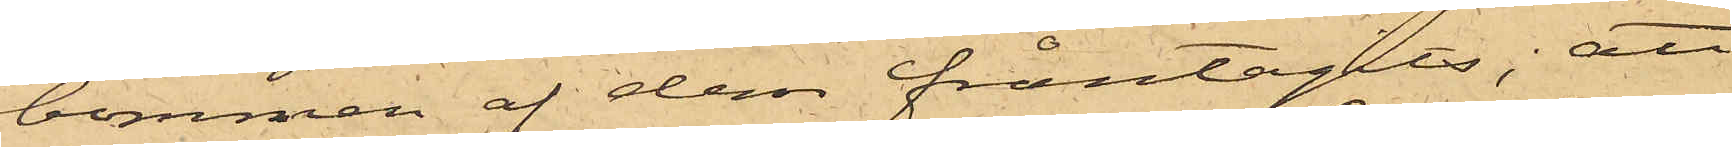bommen af dem fråntagits; att
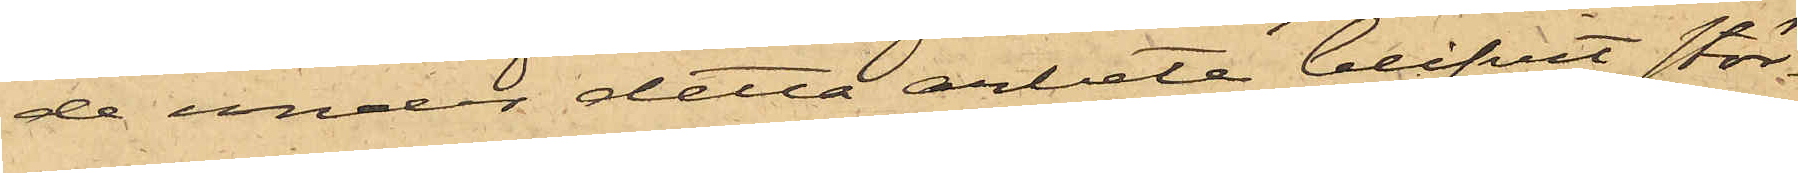de under detta arbete blifvit stör¬
